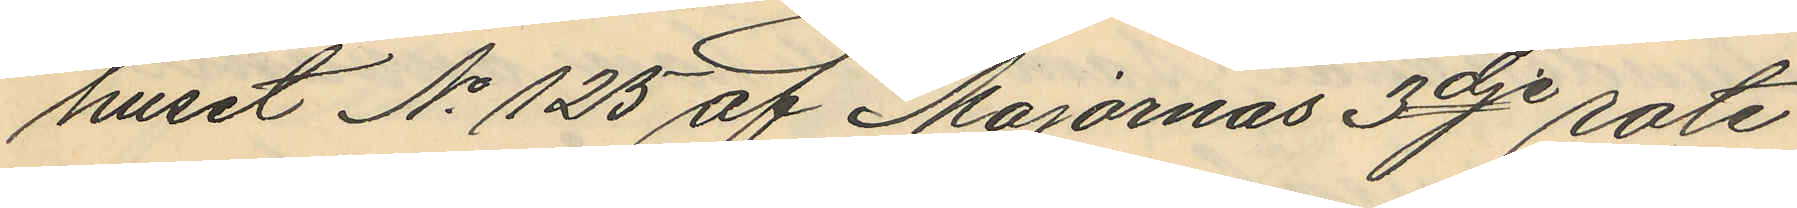huset No 125 af Majornas 3dje rote
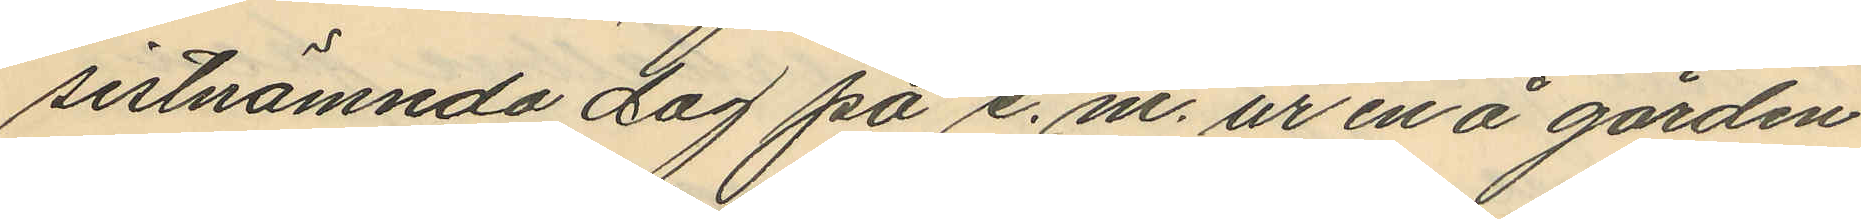sistnämnda dag på e. m. ur en å gården
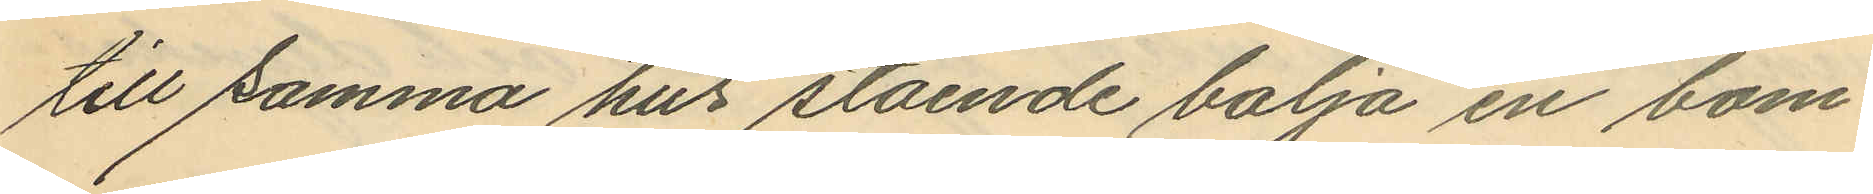till samma hus stående balja en bom¬
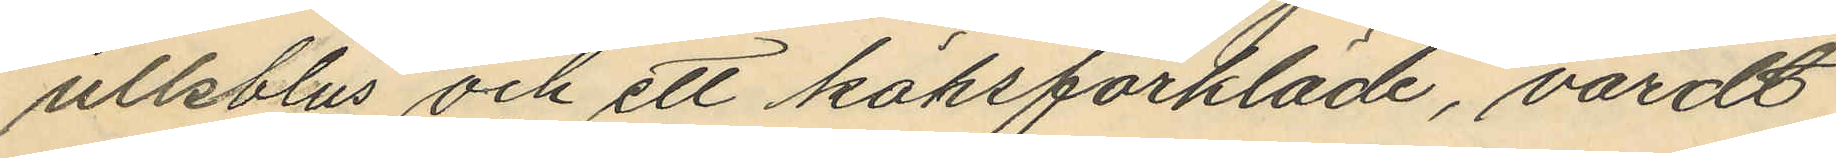ullsblus och ett köksförkläde, värdt
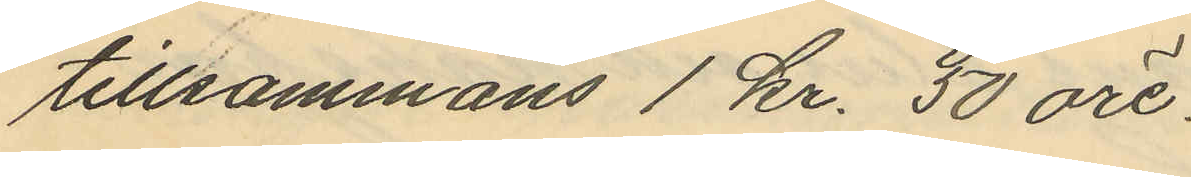tillsammans 1 kr. 50 öre.
